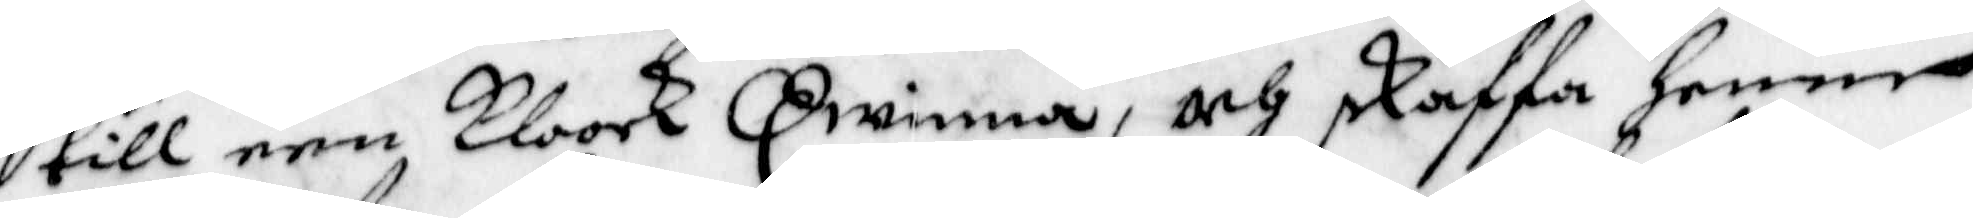till een Kloock Qwinna, och skaffa henne
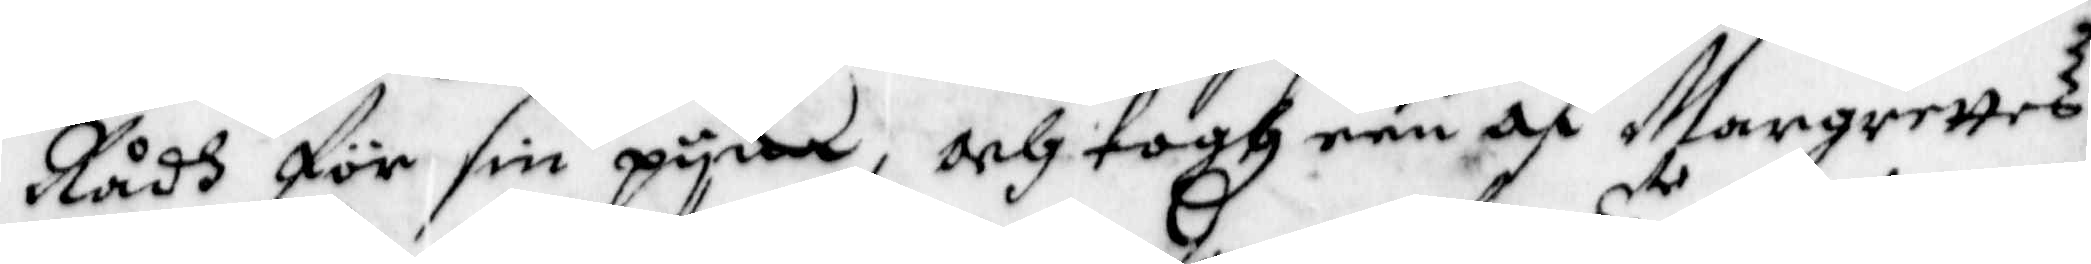Rådh för sin pyna, och togh een af Margrettes
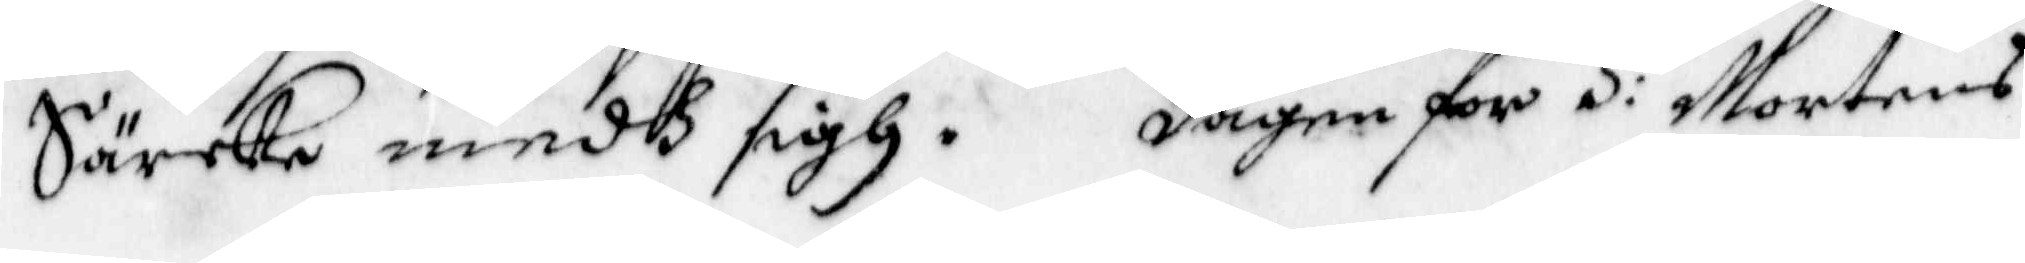Särcke medh sigh. Dagen för S:e Mortens
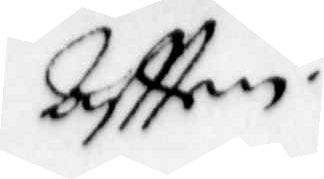Aftten
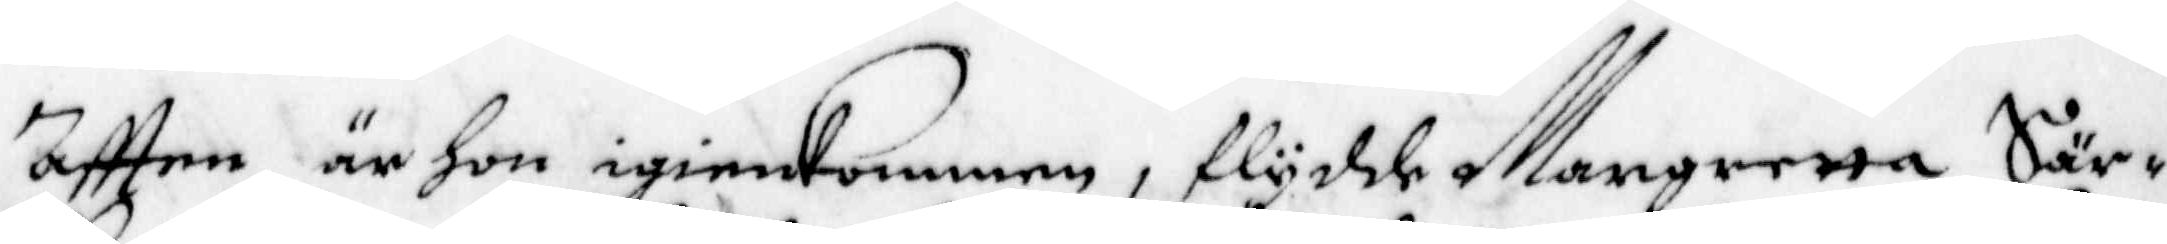aftten är hon igenkommen, flydde Margretta Sär¬
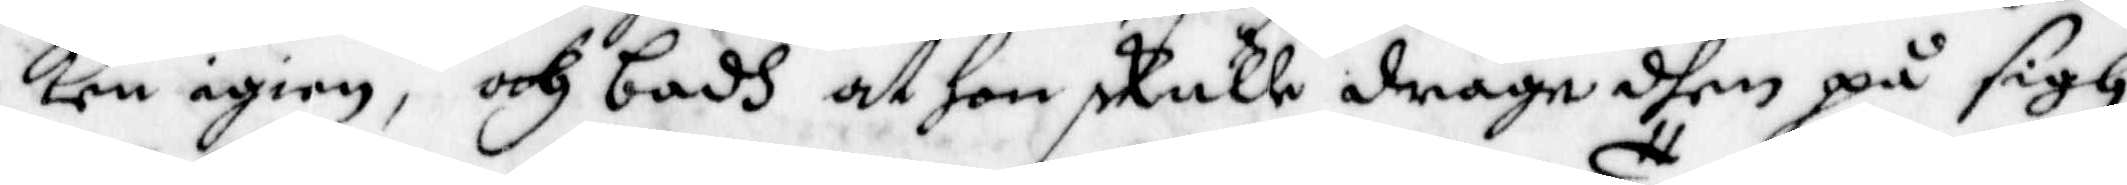ken igien, och badh at hon skulle draga dhen på sigh,
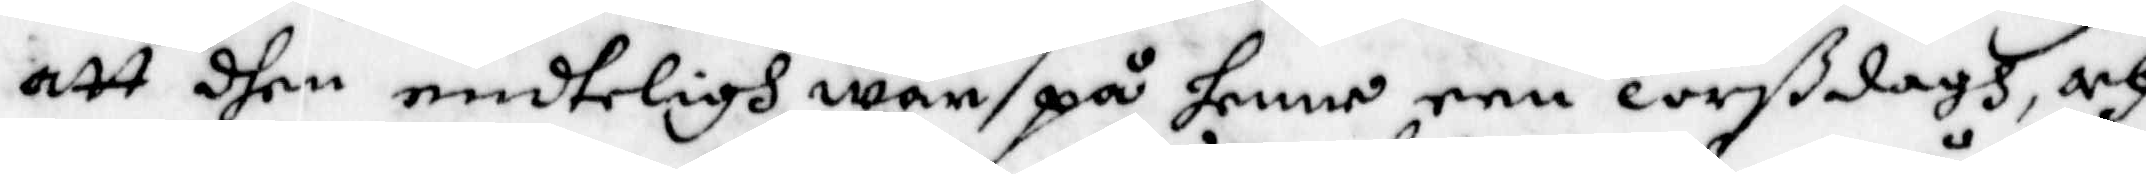att dhen endteligh war på henne een Torßdagh, och
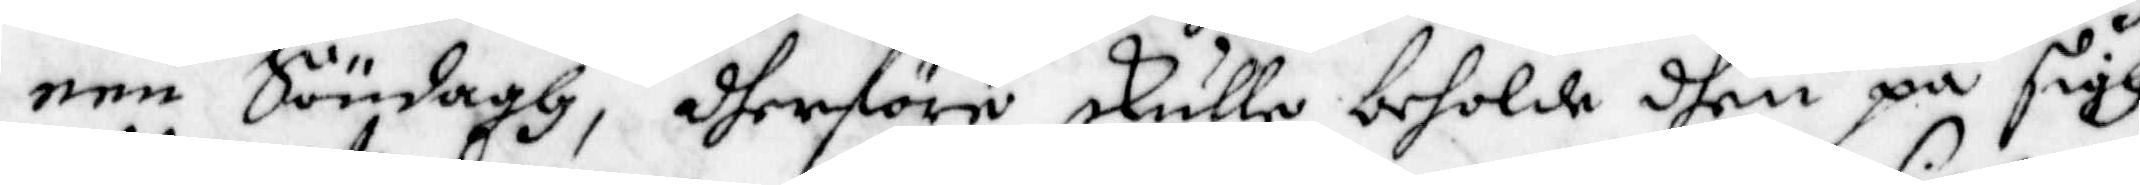een Söndagh, dherföre skulle beholde dhen på sigh
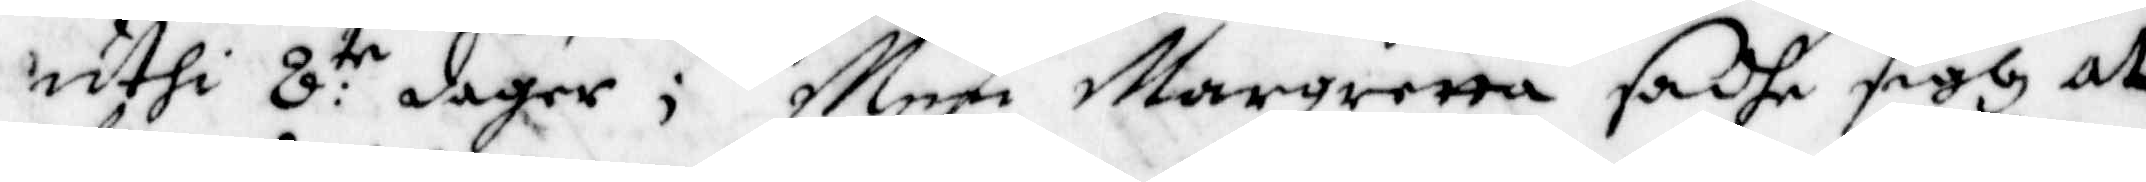uthi 8:te dagar; Men Margretta sadhe sigh at
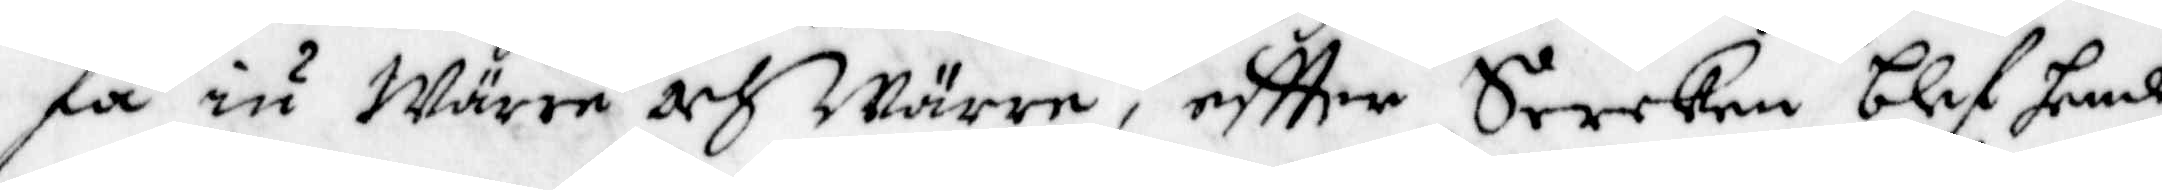få nu Wärre och Wärre, eftter Sercken blef hende
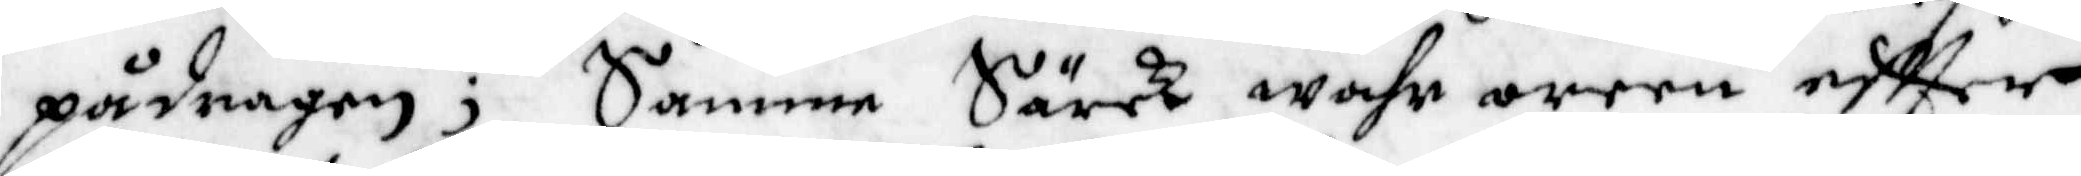pådragen; Samme Särck wahr oreen eftter
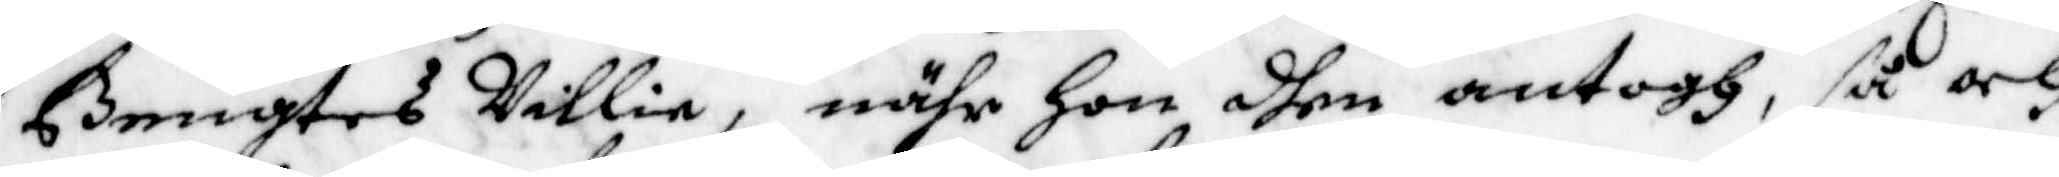Bengtes Villie, nähr hon dhen antogh, så och
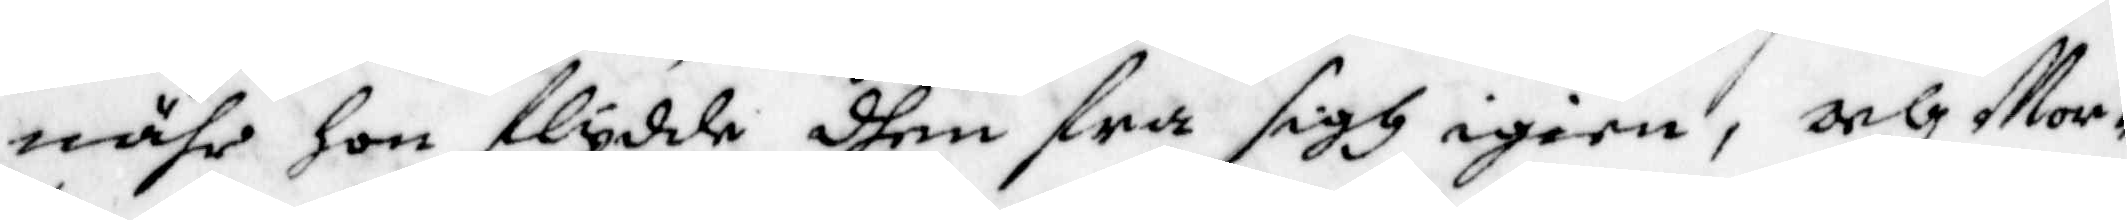nähr hon flydde dhen fra sigh igien, och Mor¬
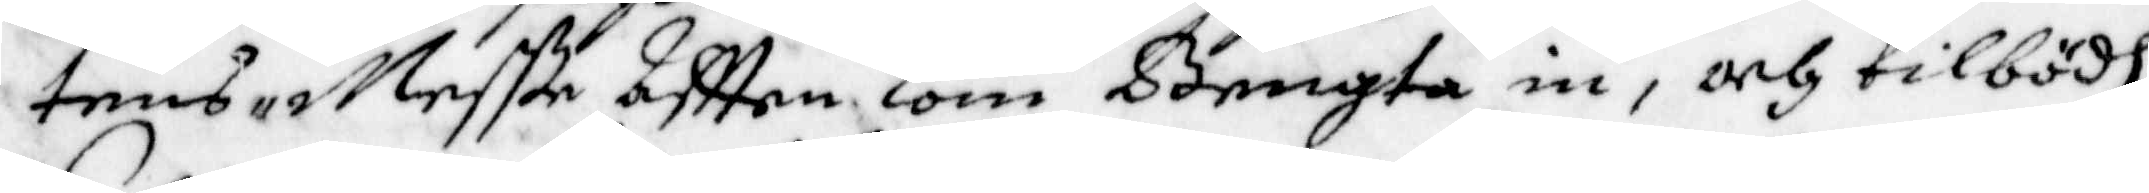tens-Meße Aftten kom Bengta in, och tilbödh
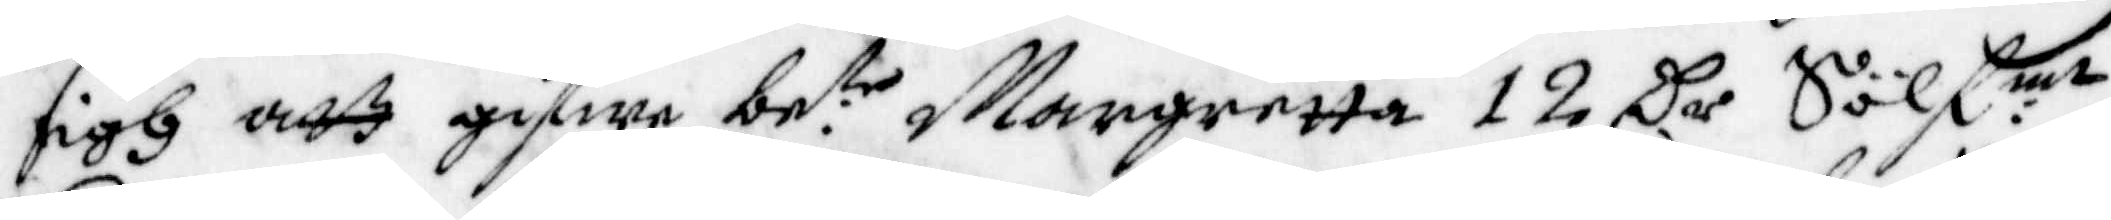sigh att giffwa be:te Margretta 12 Cr Sölf:mt
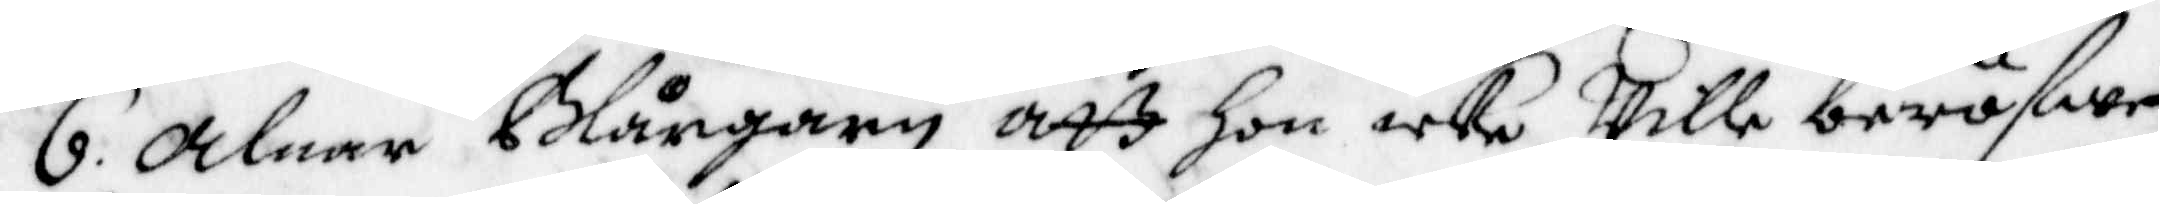6. alnar blårgarn att Hon icke wille bröfwe
